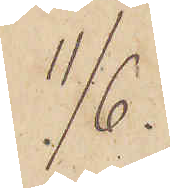11/6.
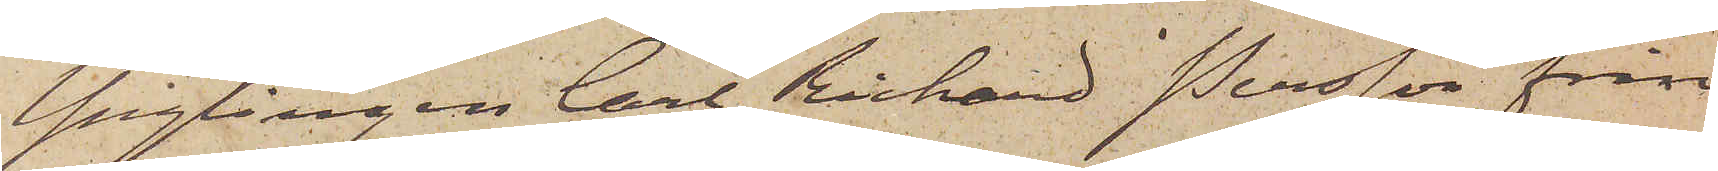Ynglingen Carl Richard Persson från
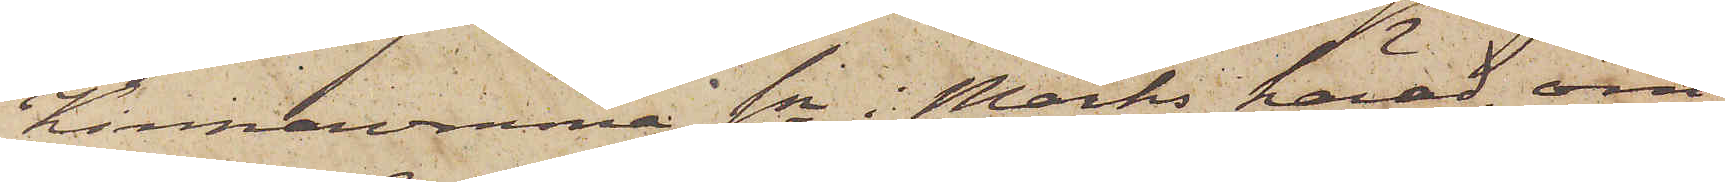Kinnarumma sn i Marks härad, om¬
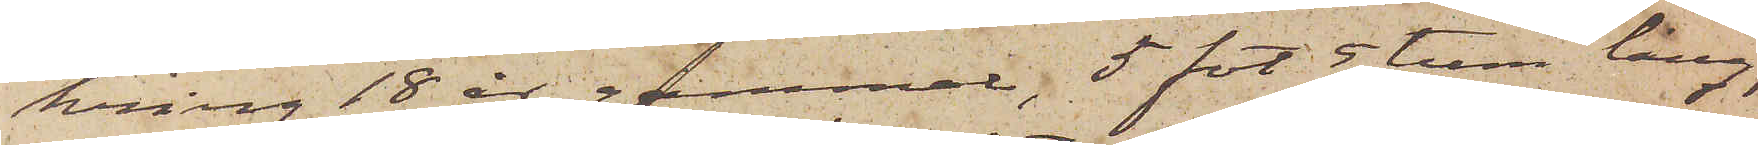kring 18 år gammal, 5 fot 5 tum lång,
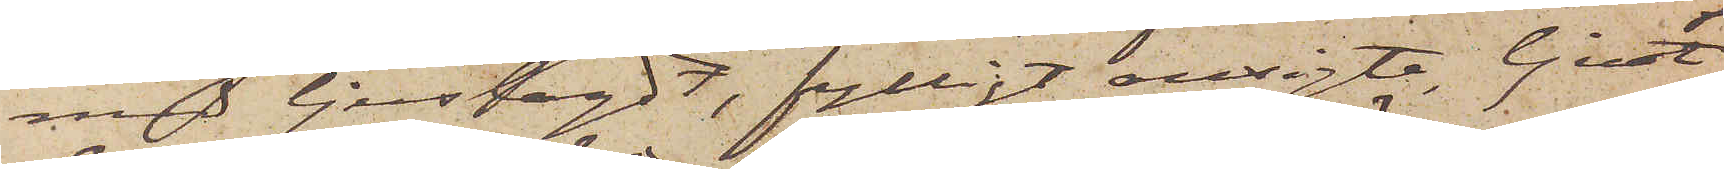med ljuslagdt, fylligt ansigte, ljust
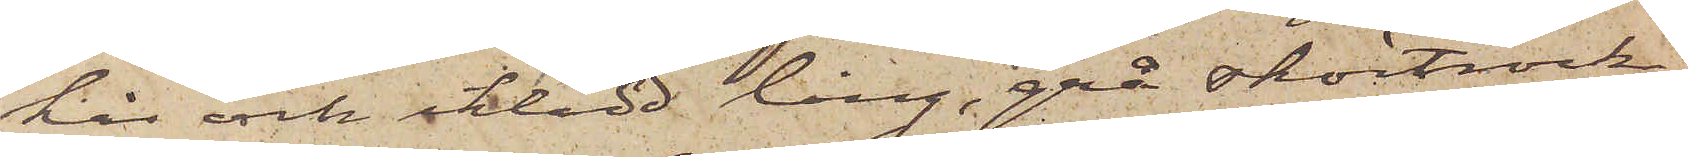hår och iklädd lång, grå skörtrock,
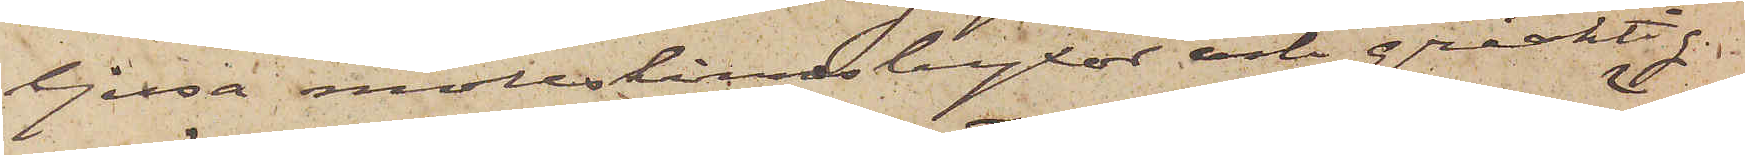ljusa mollskinnsbyxor och gråaktig
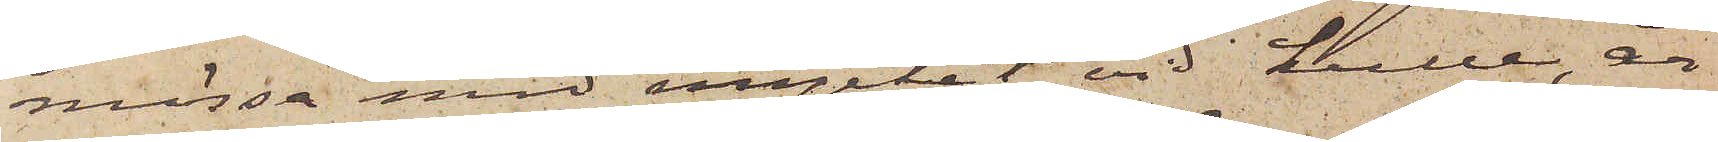mössa med mycket vid kulle, är
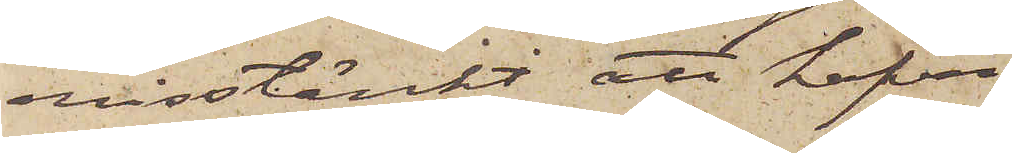misstänkt att hafva
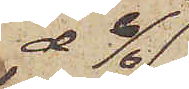d 6/6
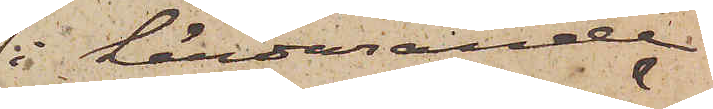i härvarande
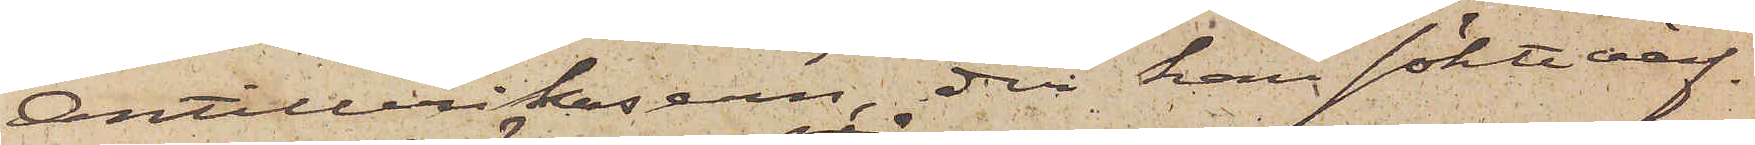Artillerikasern, der han sökte värf¬
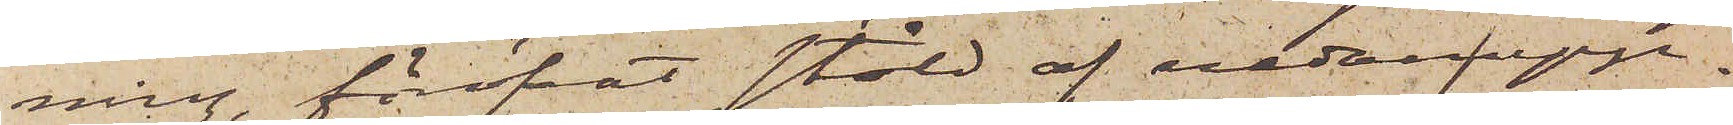ning, föröfvat stöld af nedanupp¬
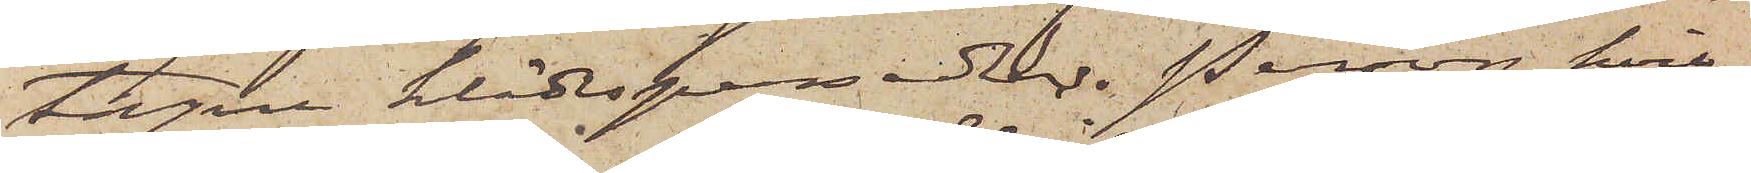tagne klädespersedlar. Person, hvil¬
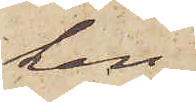ken
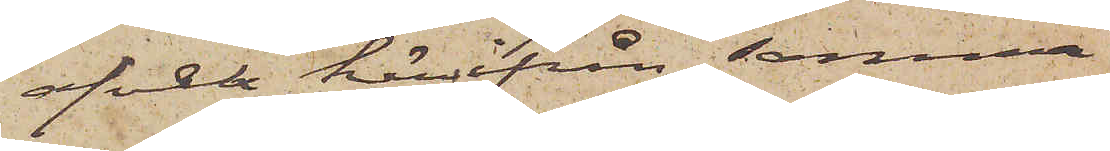afvek härifrån samma
